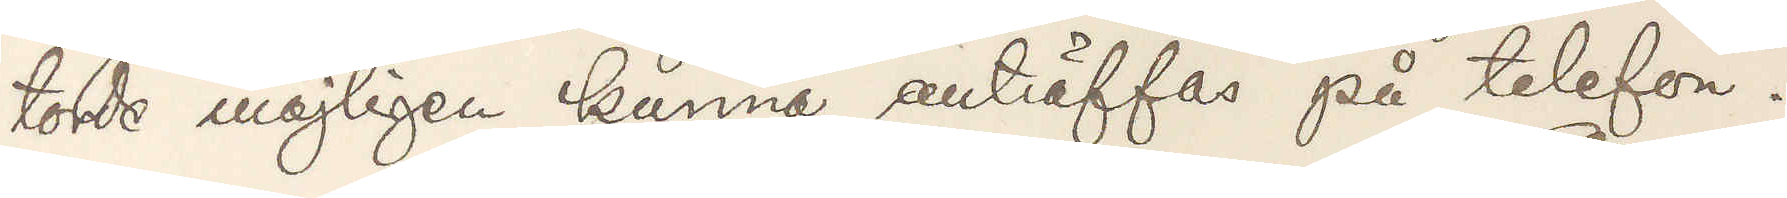torde möjligen kunna anträffas på telefon.
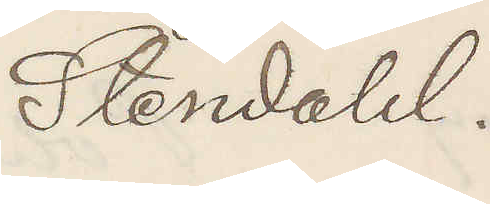Stendahl.
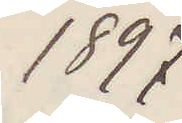1897
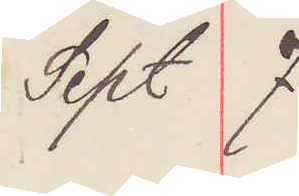Sept 7
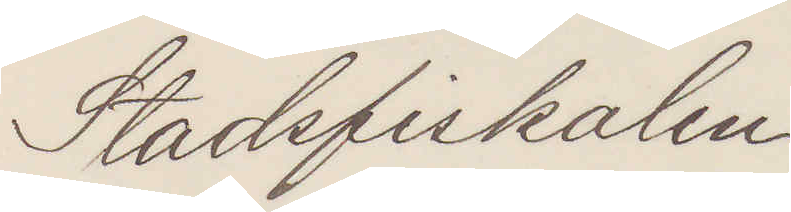Stadsfiskalen
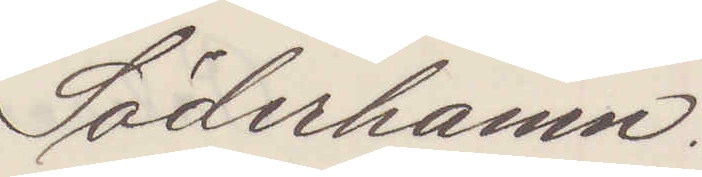Söderhamn.
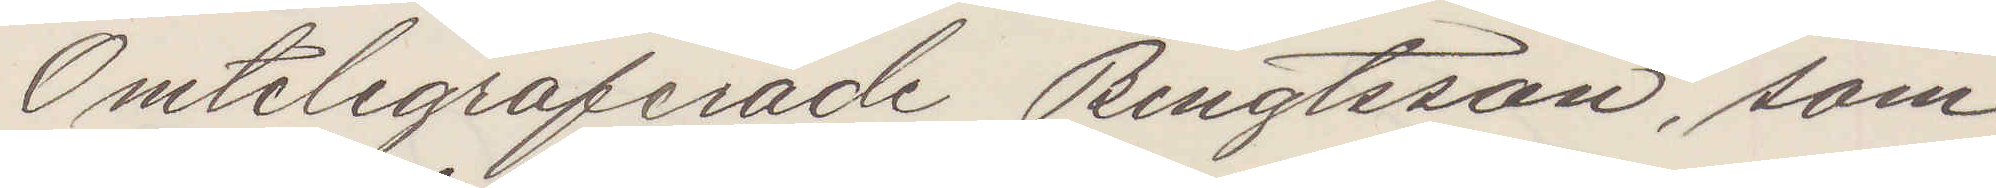Omtelegraferade Bengtsson, som
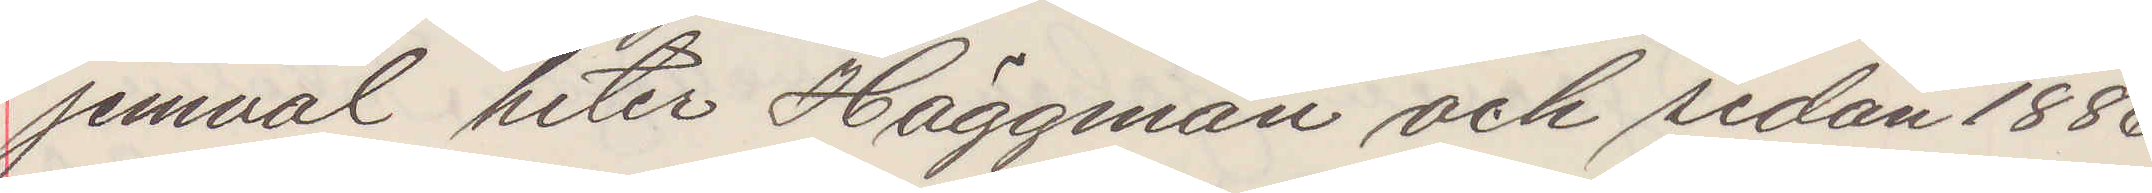jemväl heter Häggman och sedan 1886
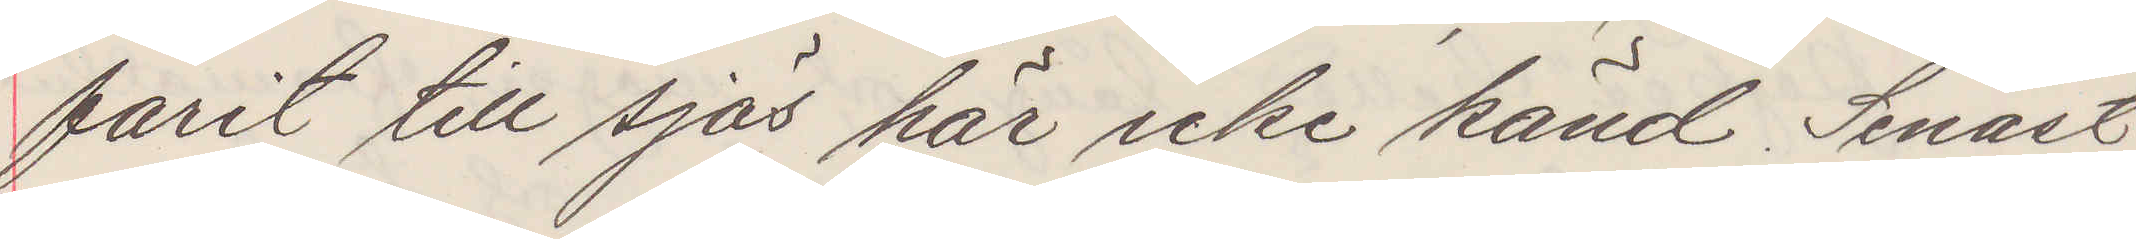farit till sjös här icke känd. Senast
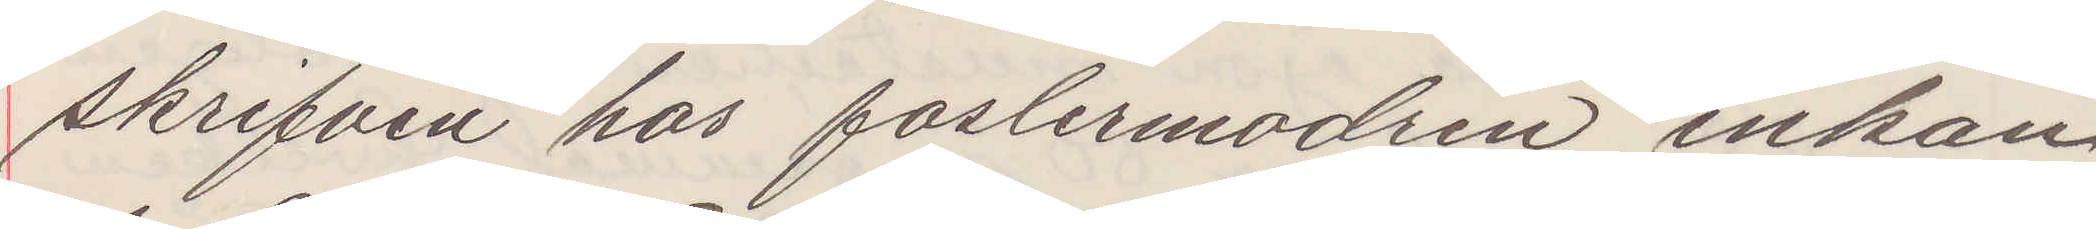skrifven hos fostermodren enkan
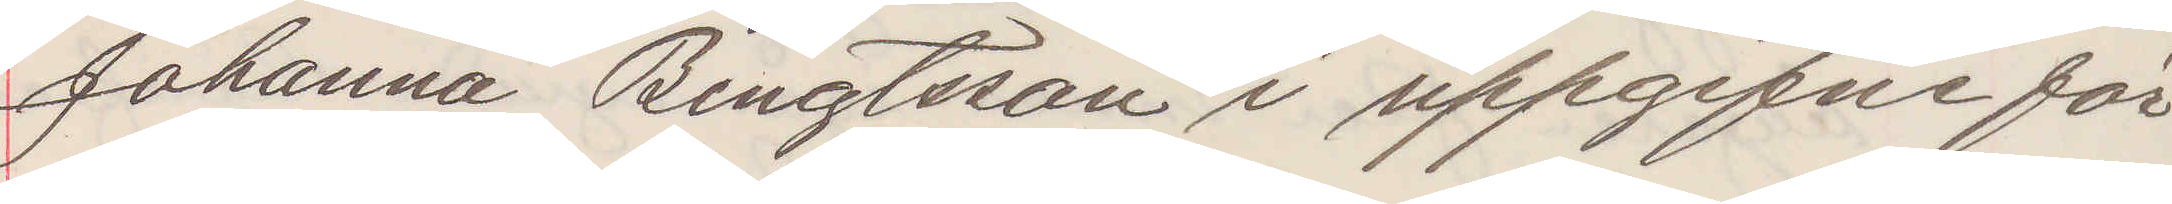Johanna Bengtsson i upgifne för¬
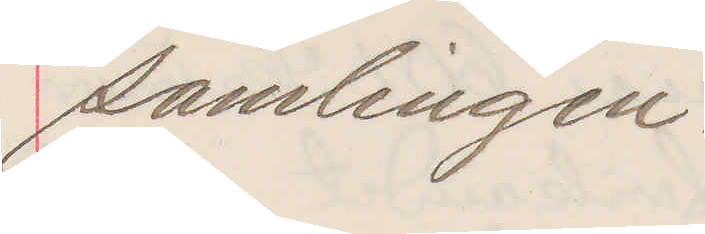samlingen.
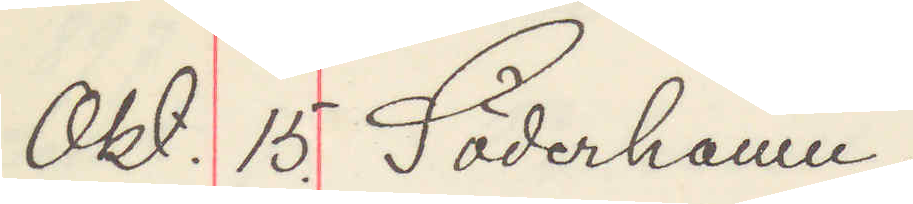Okt. 15. Söderhamn.
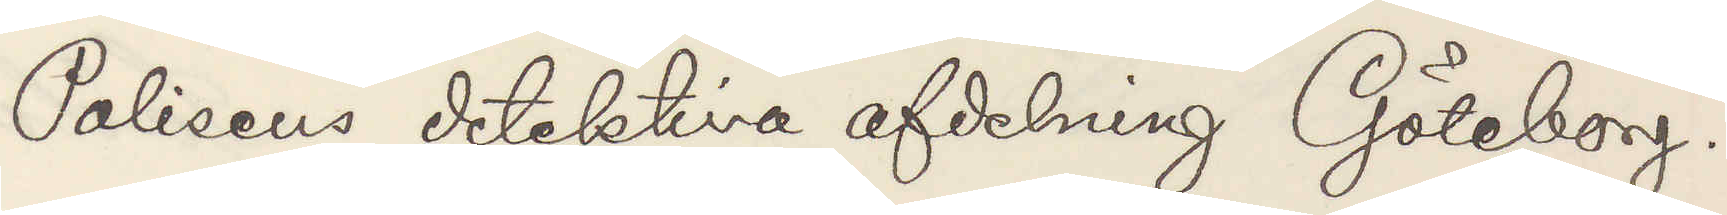Polisens detektiva afdelning Göteborg.
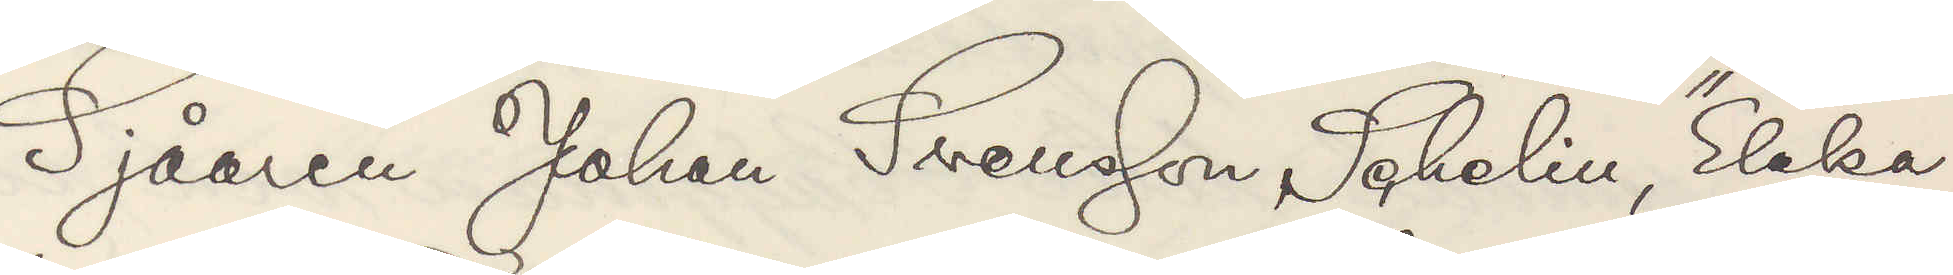Sjåaren Johan Svensson Schelin "Elaka
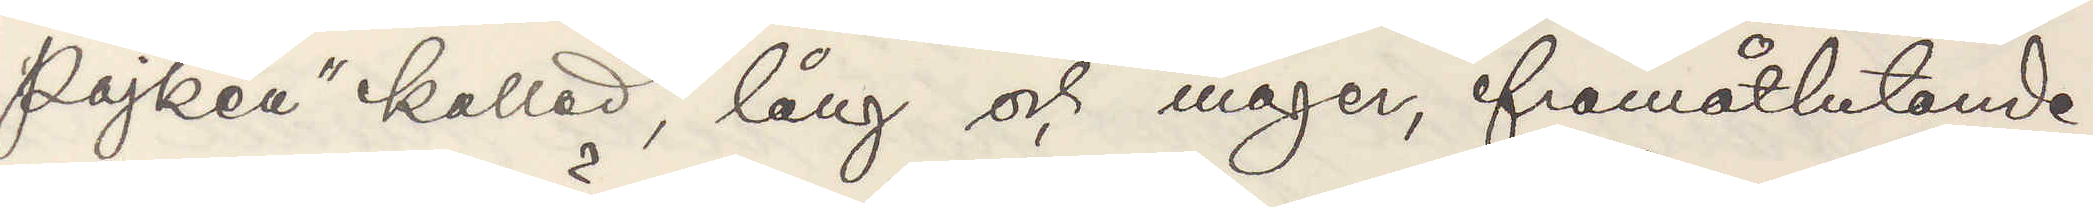pojken" kallad, lång och mager, framåtlutande
